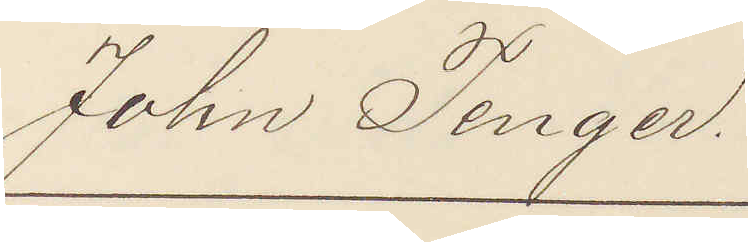John Tenger.
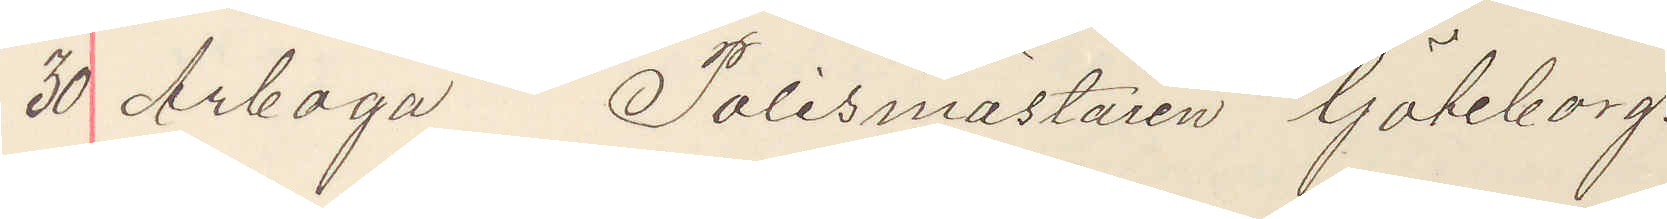30 Arboga Polismästaren Göteborg.
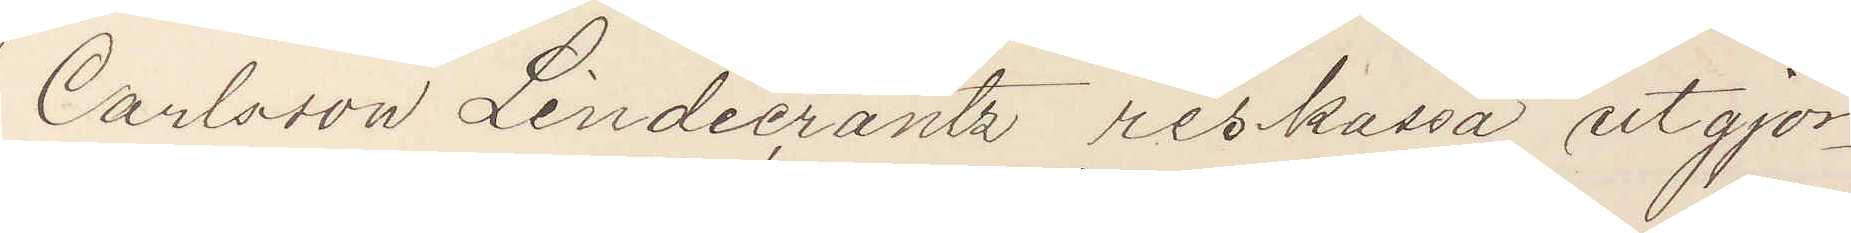Carlsson Lindecrantz reskassa utgjor¬
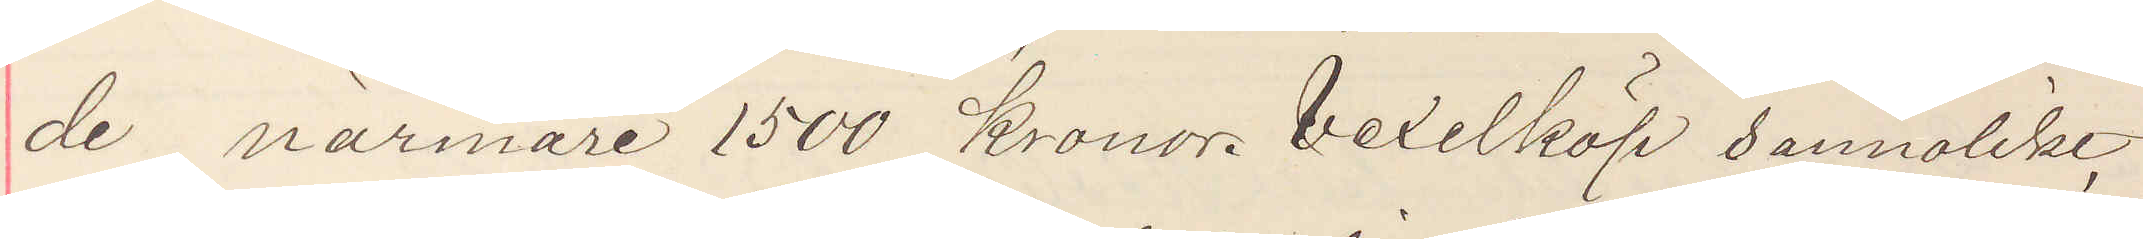de närmare 1500 kronor. Vexelköp sannolikt
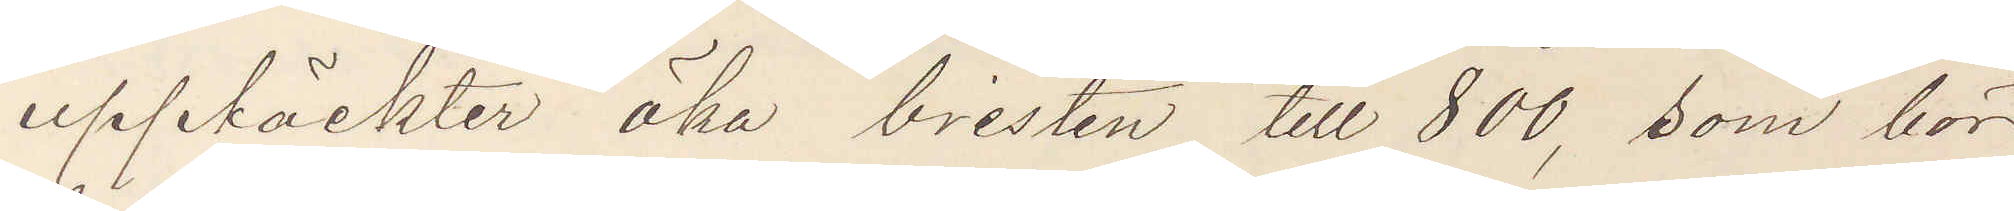upptäckter öka bristen till 800, som bör
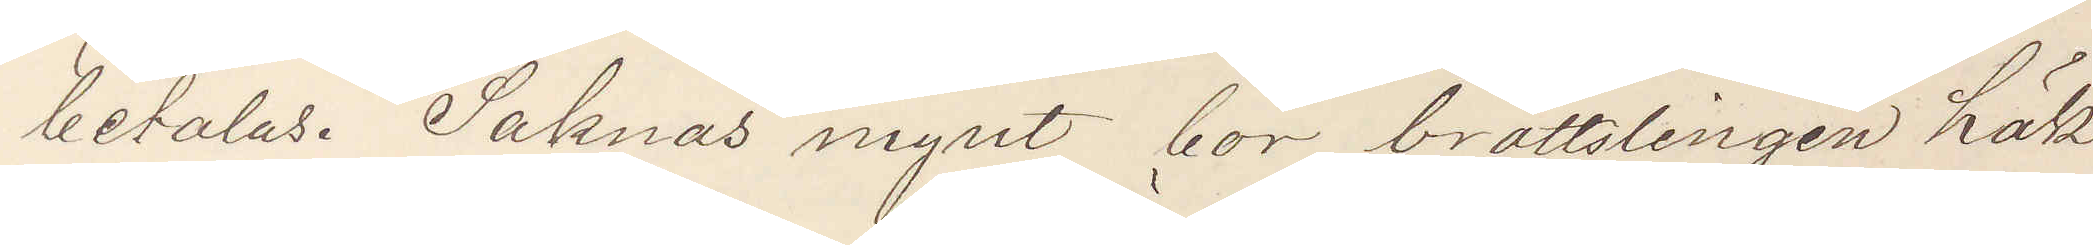betalas. Saknas mynt bör brottslingen häk¬
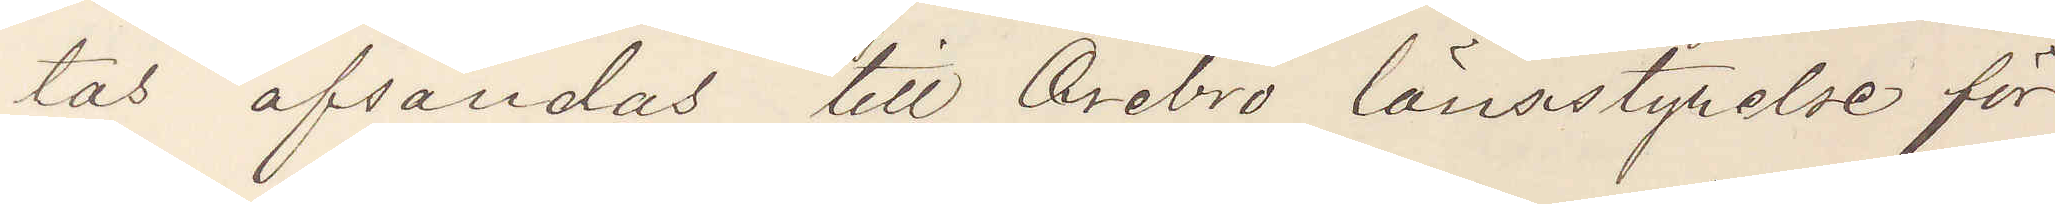tas afsändas till Örebro länsfängelse för
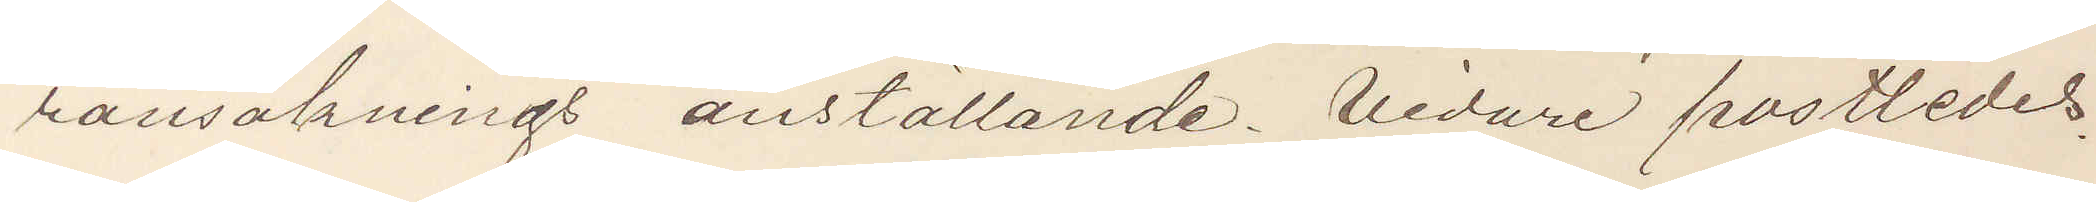ransaknings anställande. Vidare postledes.
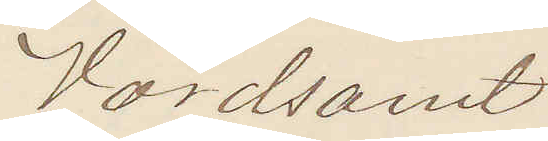Vördsamt
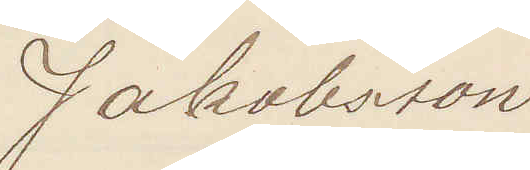Jakobsson.
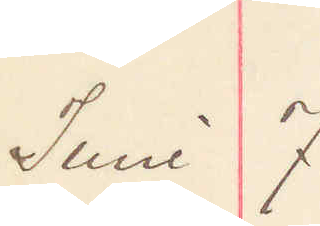Juni 7.
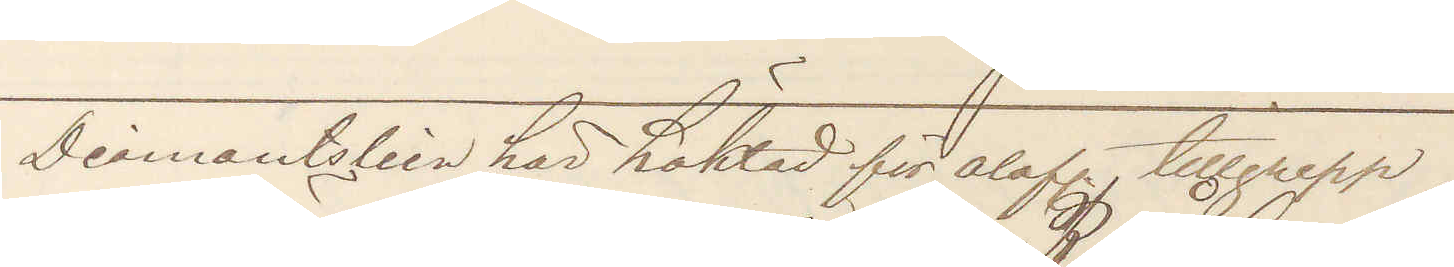Diamantstein här häktad för olof. tillgrepp
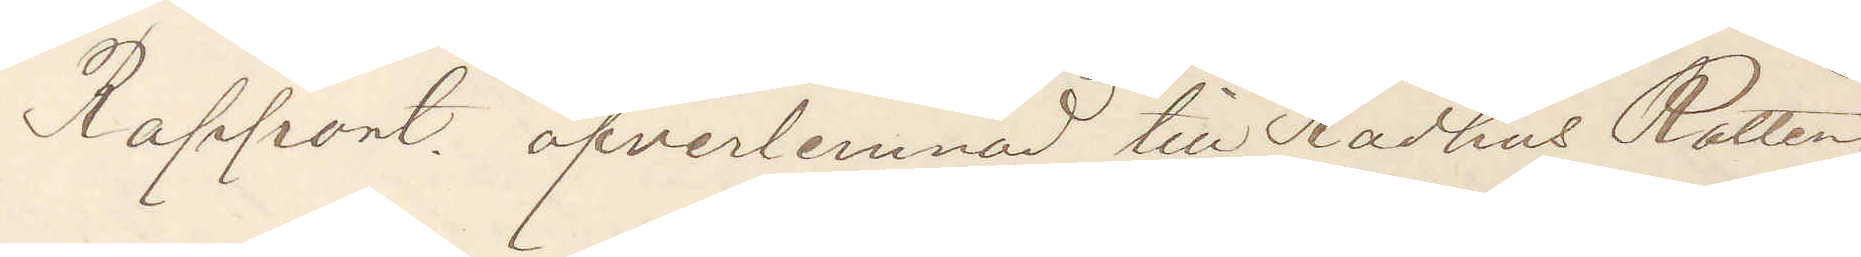Rapport öfverlemnad till Rådhus Rätten
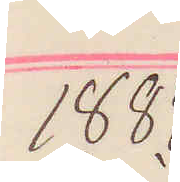1884
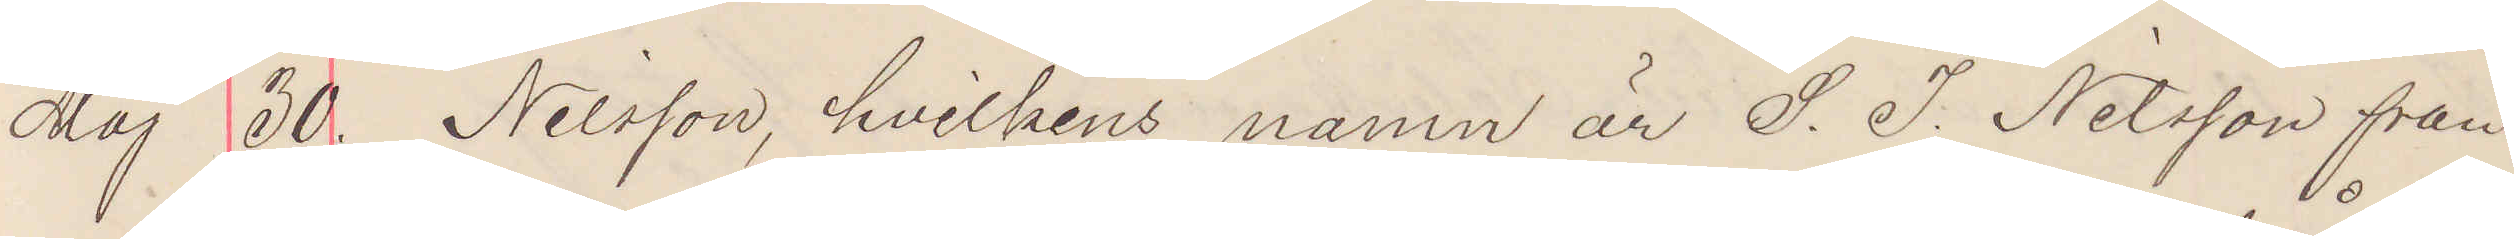Maj 30. Nilsson, hvilkens namn är P. J. Nilsson från
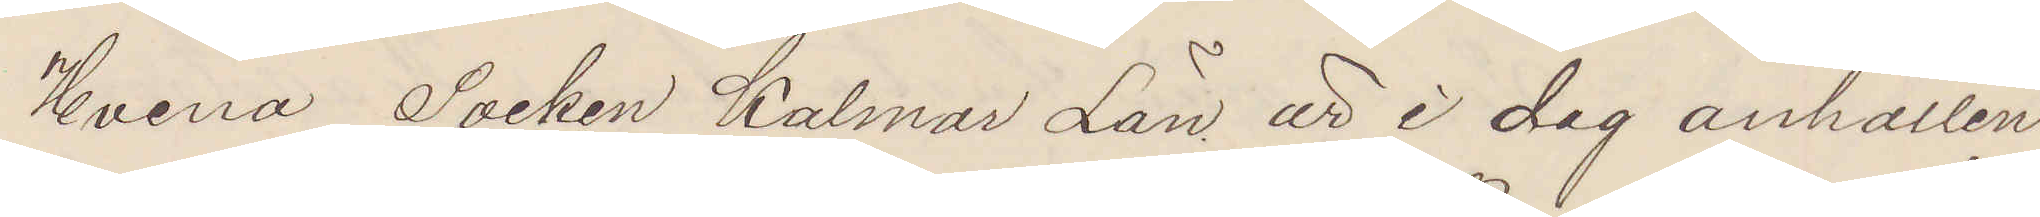Hvena Socken Kalmar län att i dag anhållen
